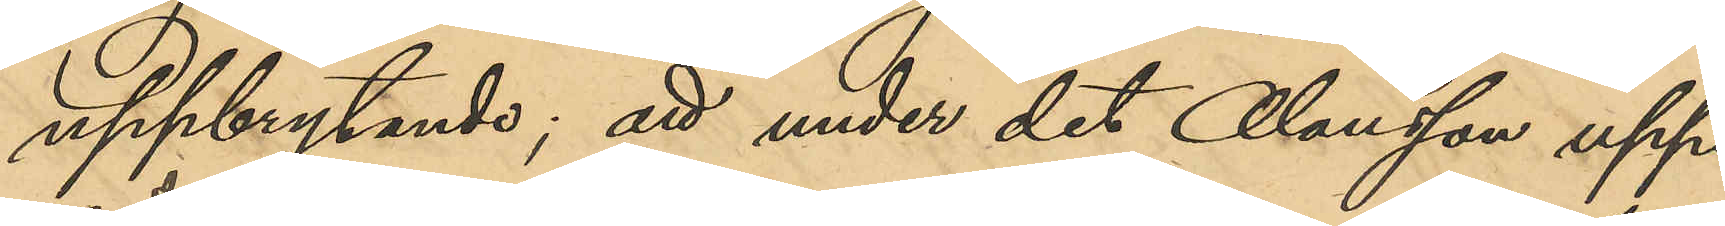uppbrytande; att under det Olausson uppe¬
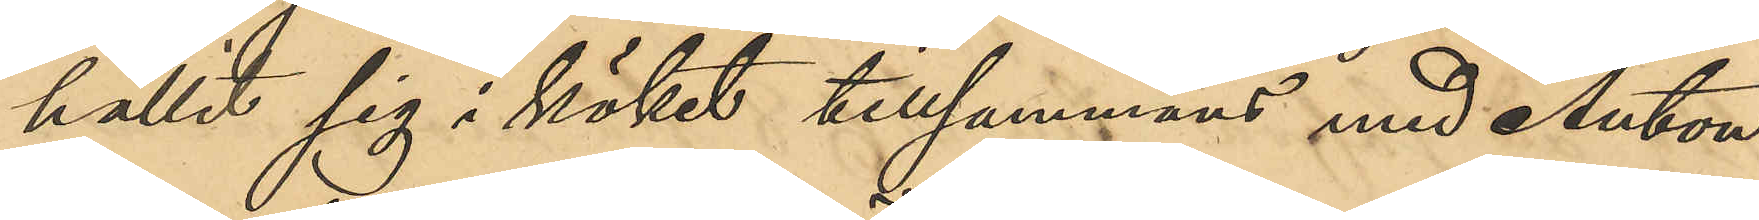hållit sig i köket tillsammans med Anton
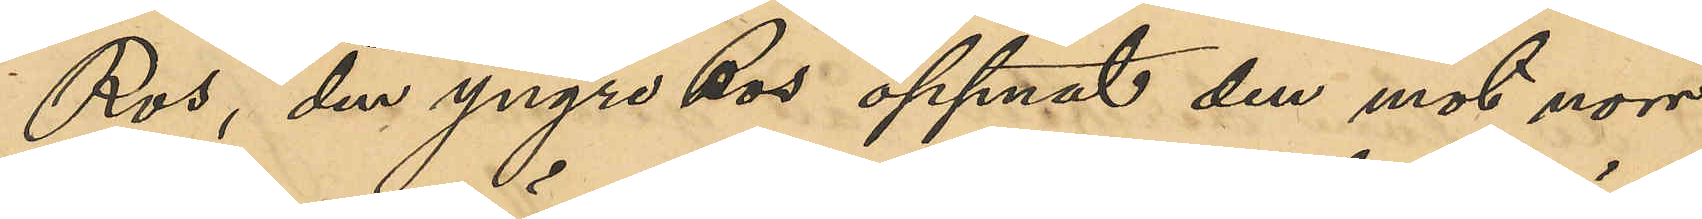Ros, den yngre Ros öppnat den mot norr
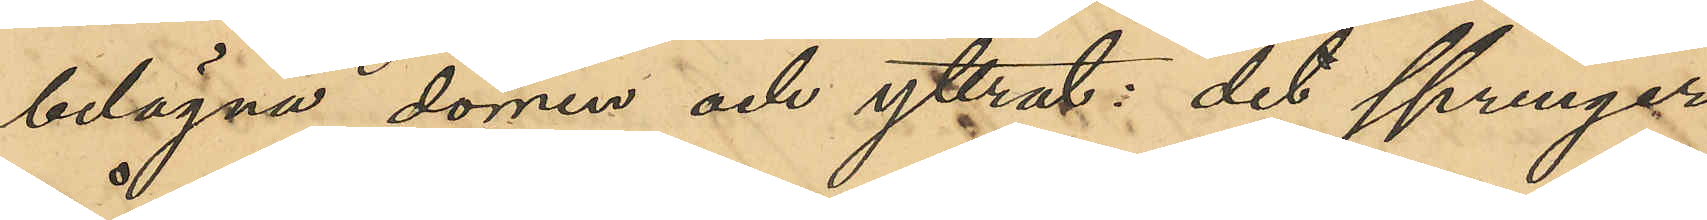belägna dörren och yttrat "det springer
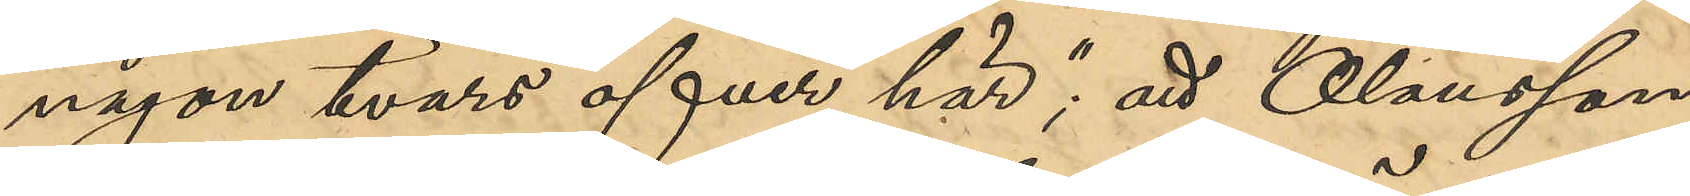någon tvärs öfver här"; att Olausson
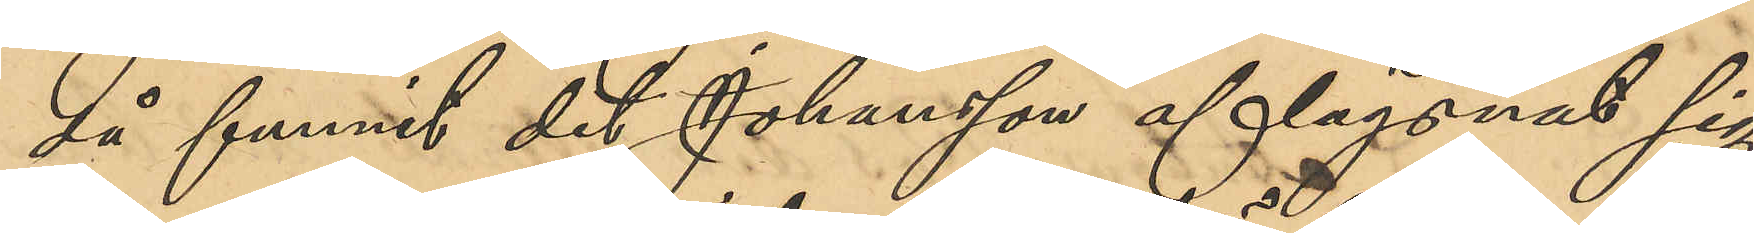då funnit det Johansson aflägsnat sig
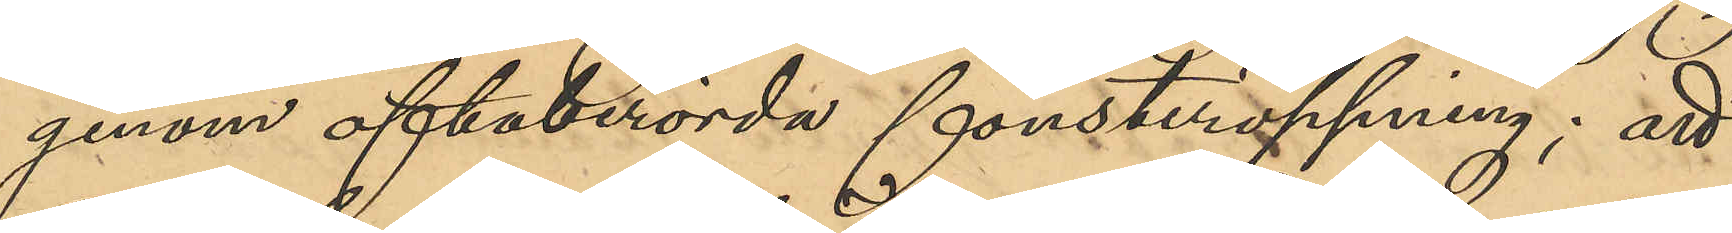genom oftaberörda fönsteröppning; att
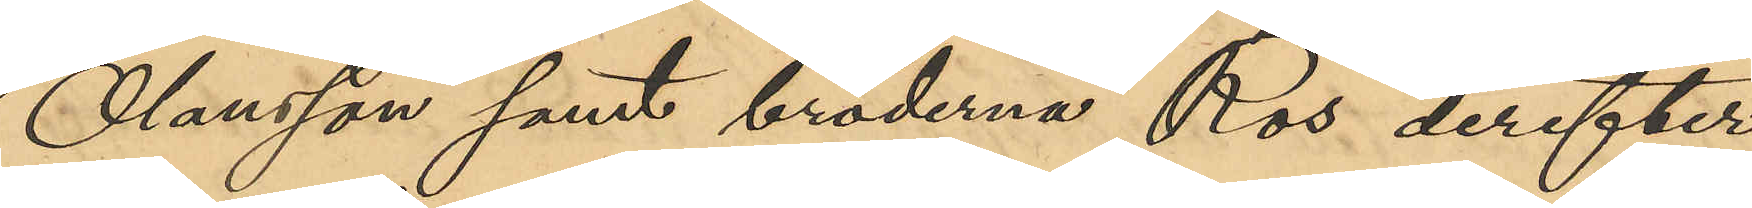Olausson samt bröderna Ros derefter
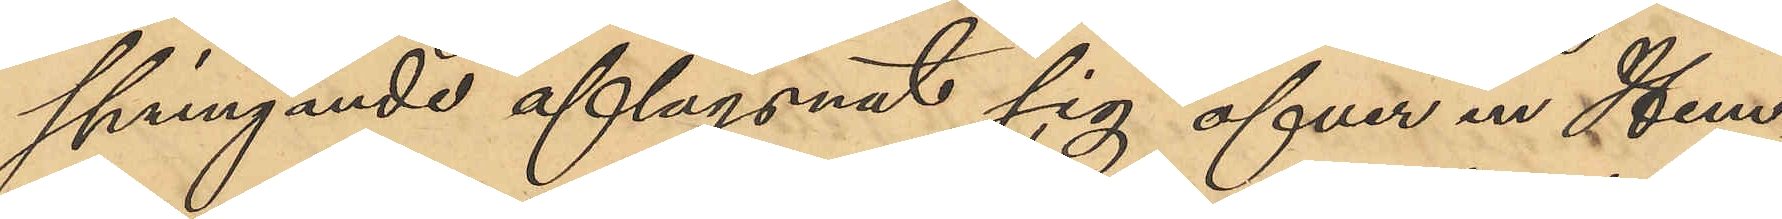springande aflägsnat sig ofver en Hem¬
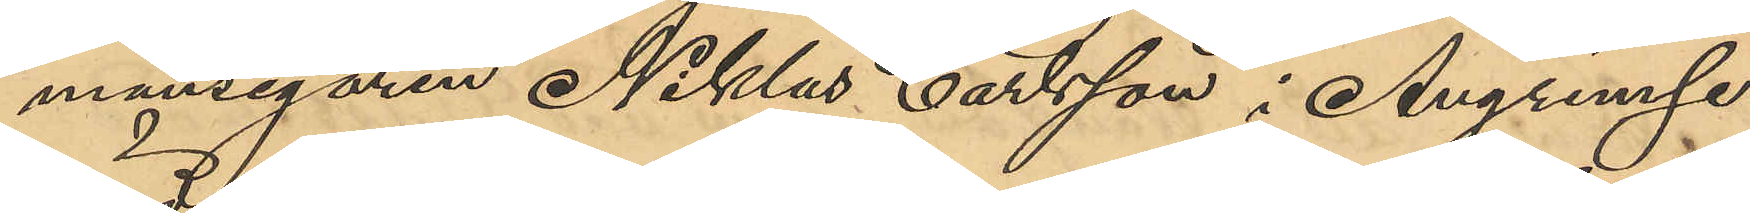mansegaren Niklas Carlsson i Angrimse¬
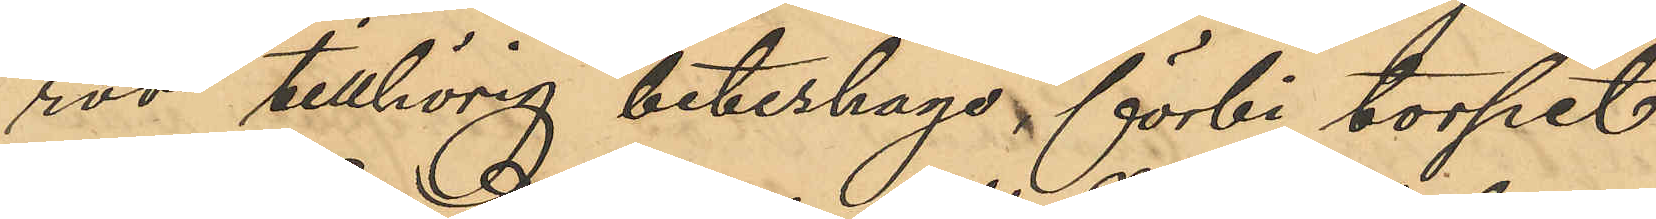röd tillhörig beteshage förbi torpet
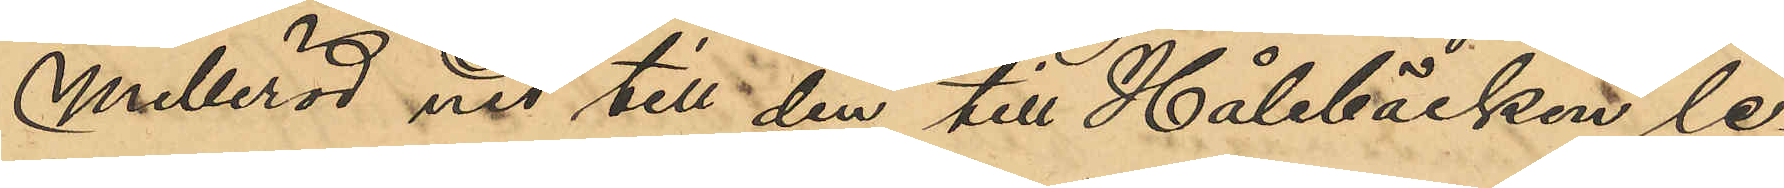Melleröd ned till den till Hålebäcken le¬
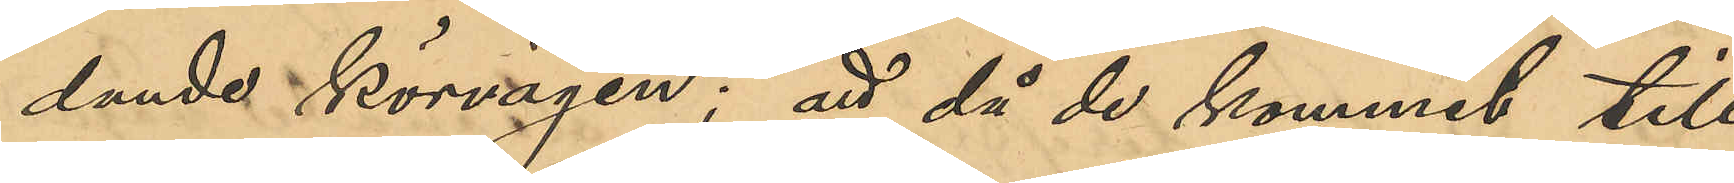dande körvägen; att då de kommit till
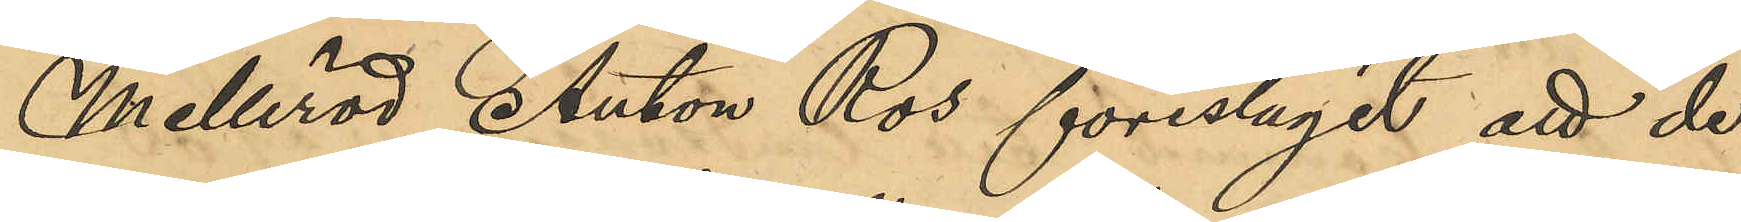Melleröd Anton Ros föreslagit att de
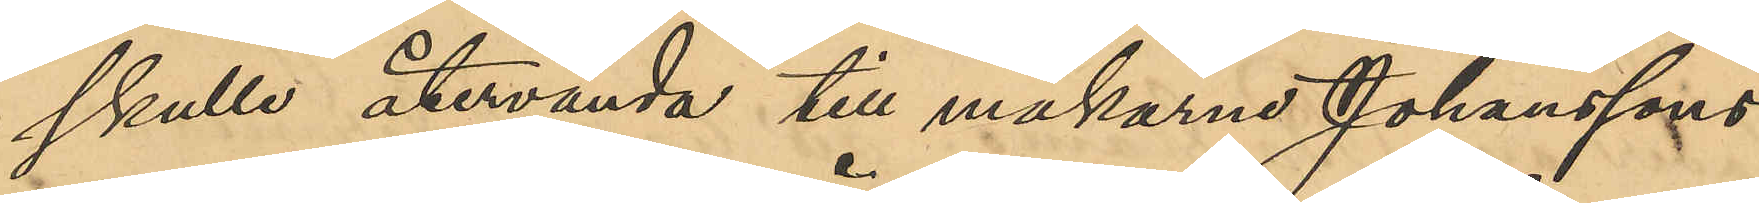skulle återvända till makarne Johansson
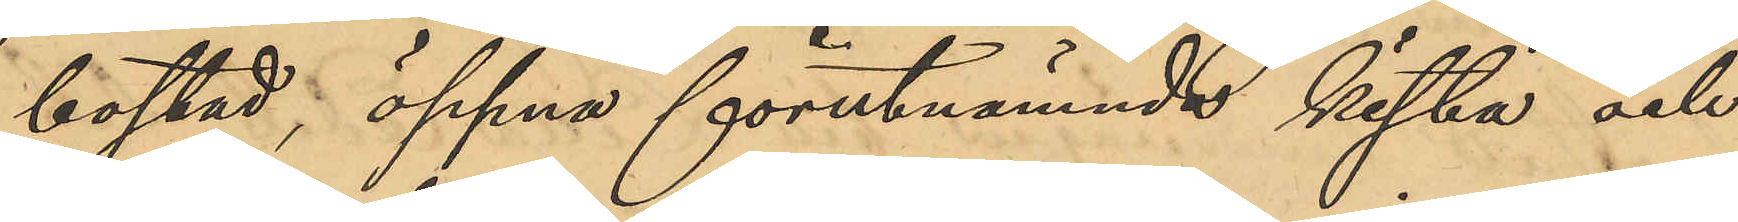bostad, öppna förutnämnde kista och
